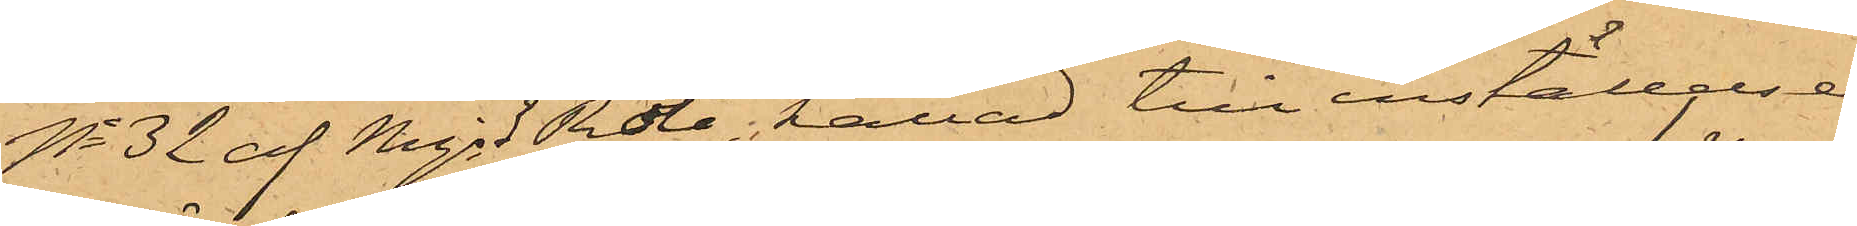No 32 af Mjs 3 Rote, kallad till inställelse
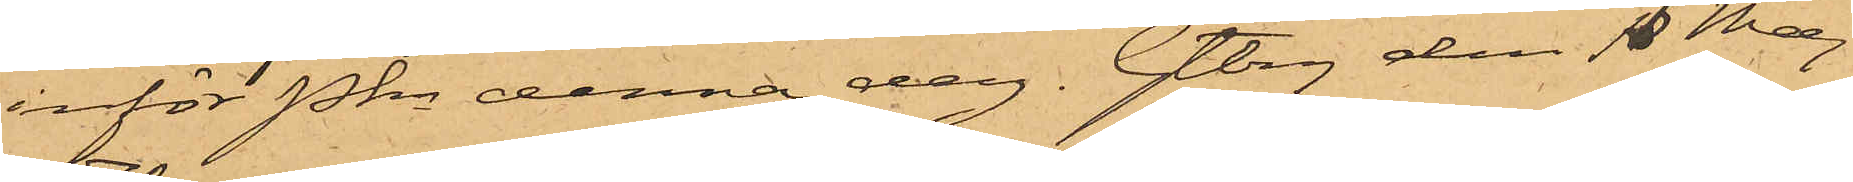inför Pkn denna dag. Gtbrg den 18 Maj
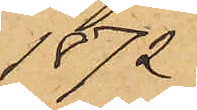1872.
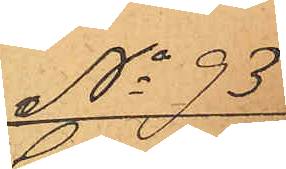No 93
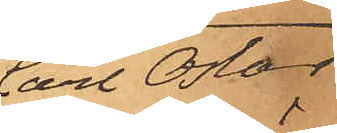Carl Oskar
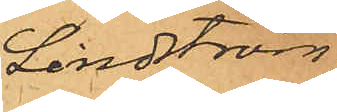Lindström.
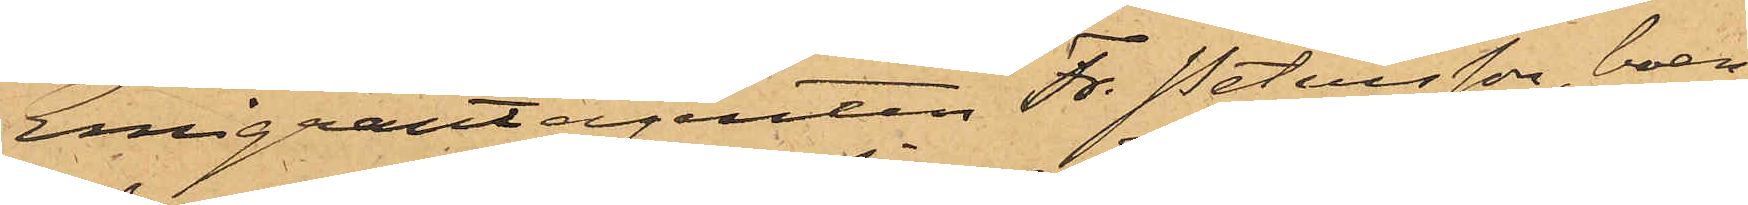Emigrantagenten Fr. Petersson, boen¬
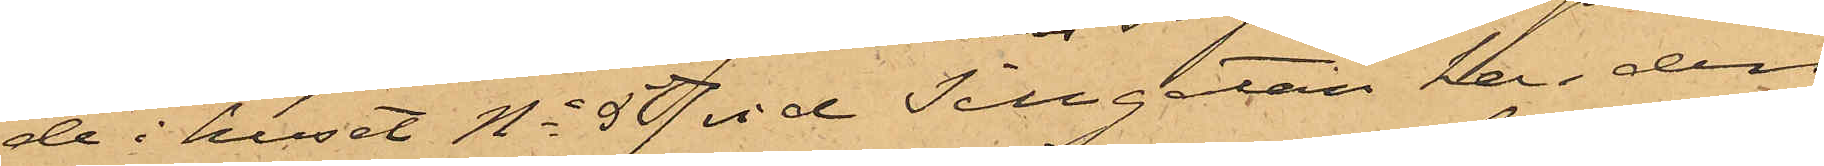de i huset No 57 vid Sillgatan har den
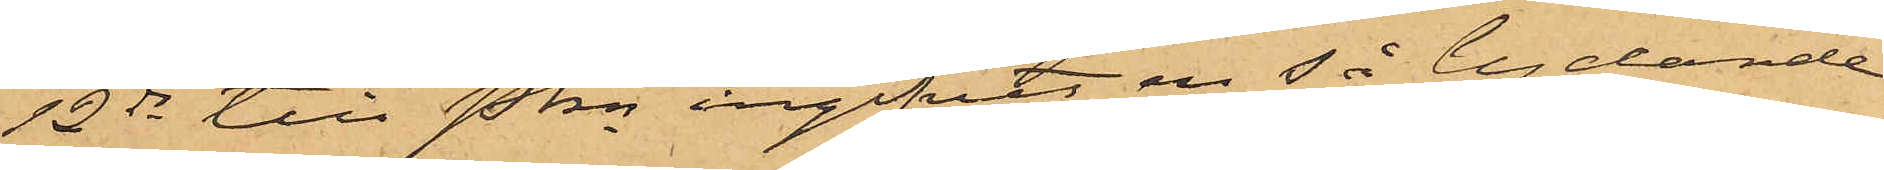12 ds till Pkn ingifvit en så lydande
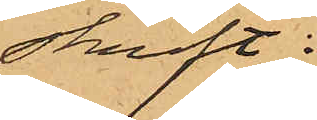skrift:
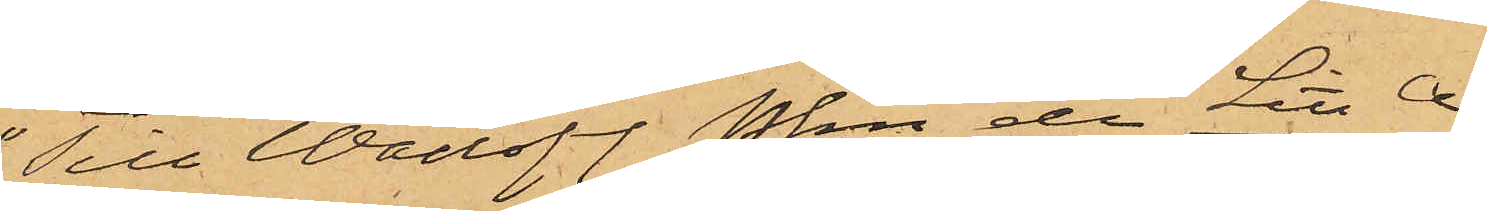"Till Wällofl. Pkn etc Litt A
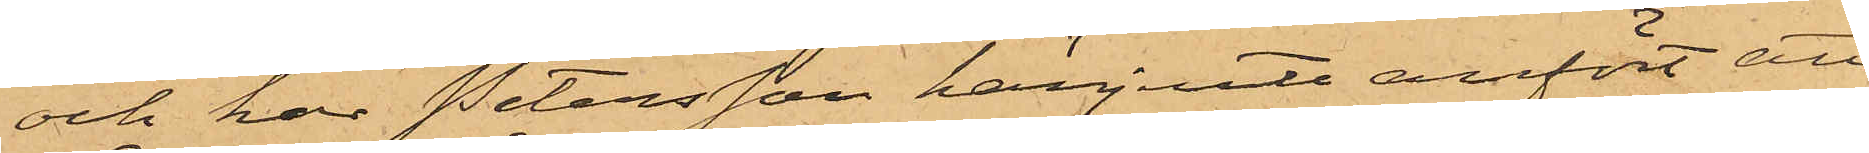och har Petersson härjemte anfört att
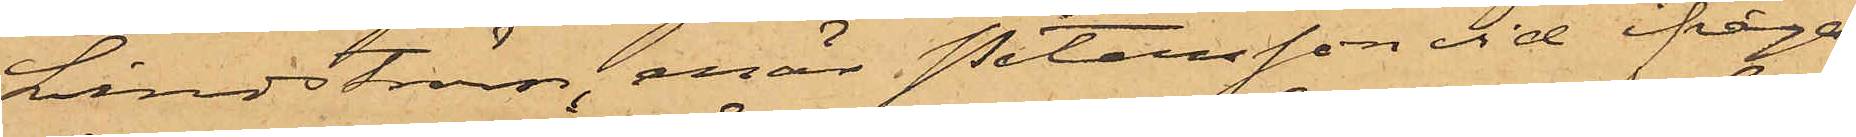Lindström, enär Petersson vid ifråga¬
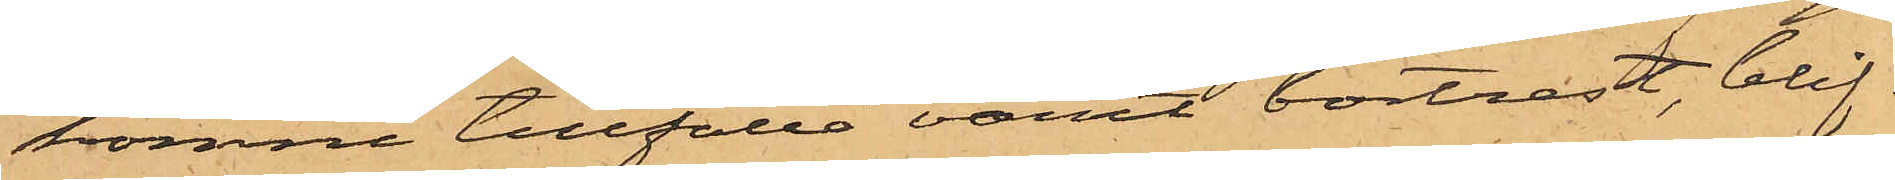komne tillfälle varit bortrest, blif¬
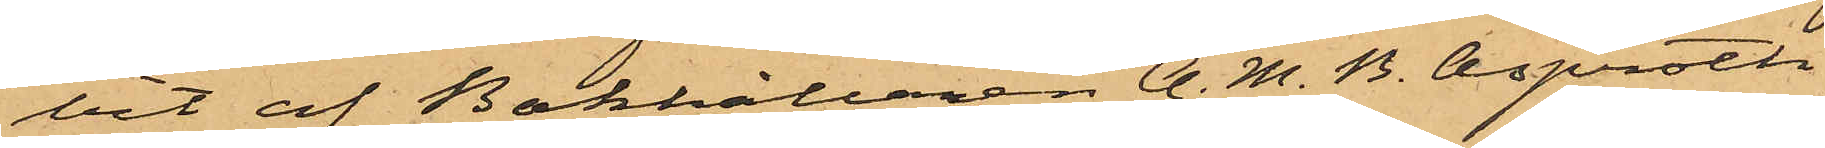vit af Bokhållaren A. M. B. Asproth,
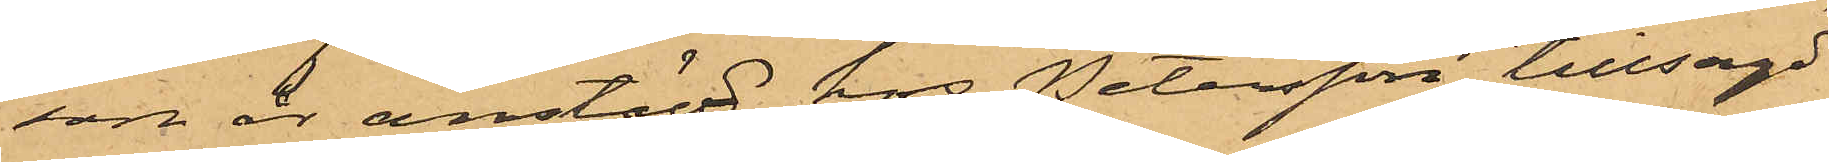som är anstäld hos Petersson, tillsagd
